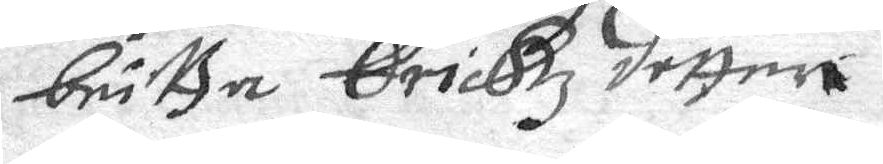Britta Erickz dotter
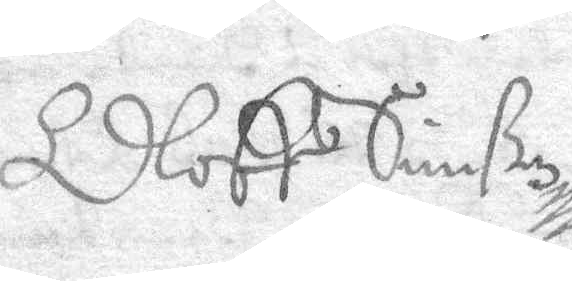Oloff Simßon
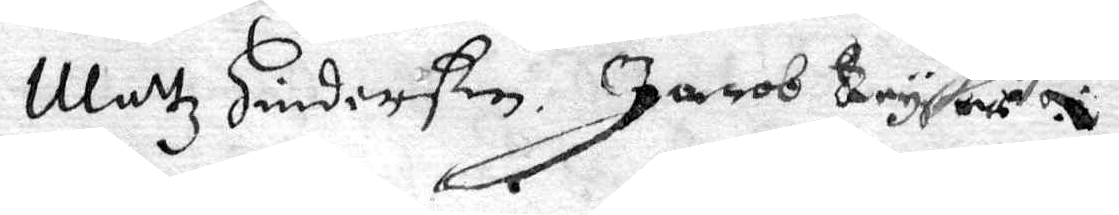Mattz Hinderßon Jarob Bryson 
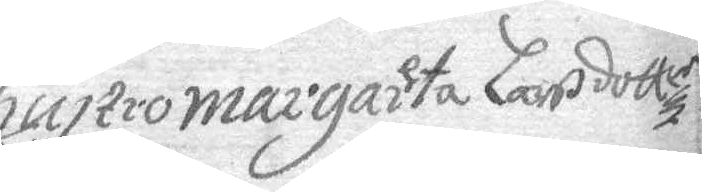Hustro margareta Larsdotter
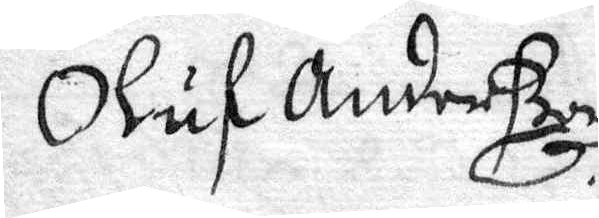Oluf Anderßon
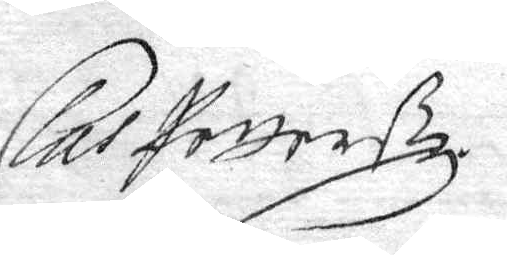Clas Petterßon
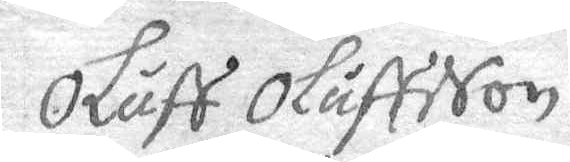Oluff Oluffsson
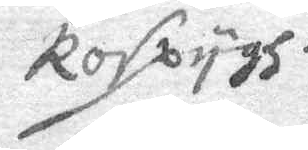Rospygh
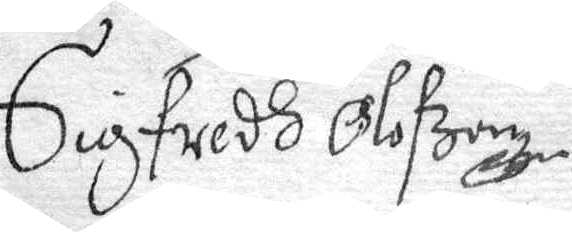Sigfwedh Olofzon
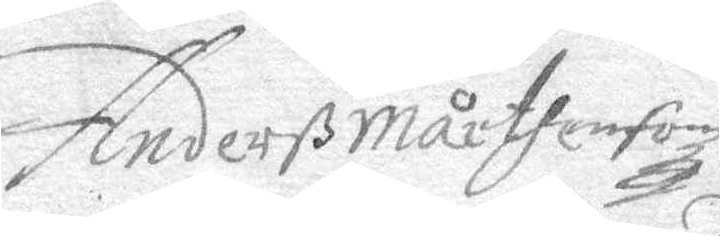Anderß Mårthenson
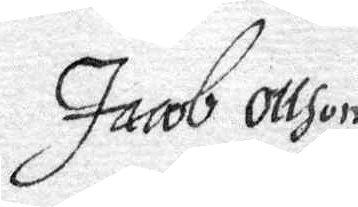Jacob Ollson
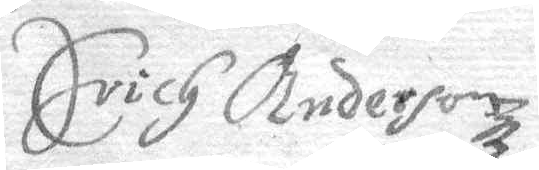Erich Anderson
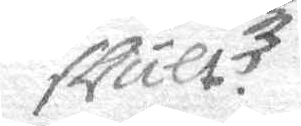slult
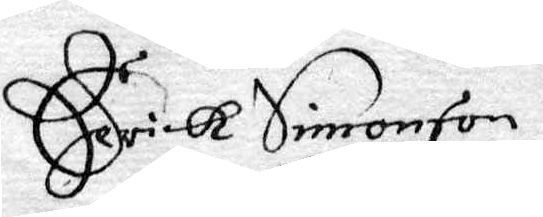Erick Simonson
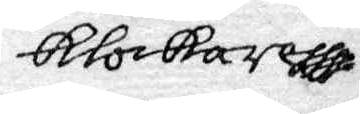Klockare
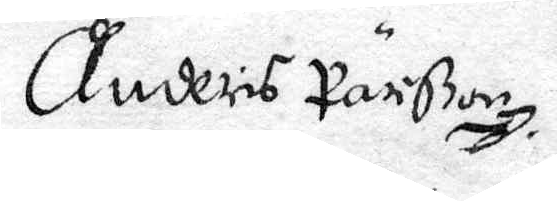Anders Pärßon. 
